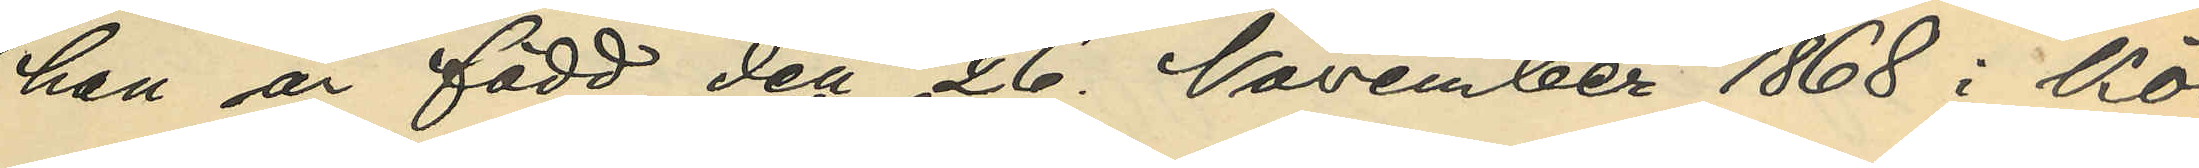han är född den 26. November 1868 i Kö¬
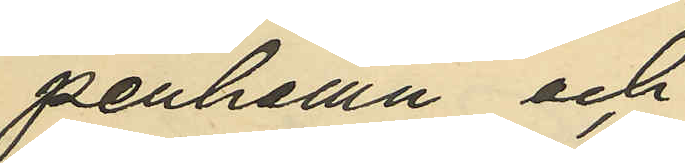penhamn och
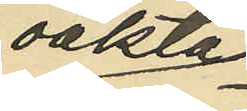oäkta
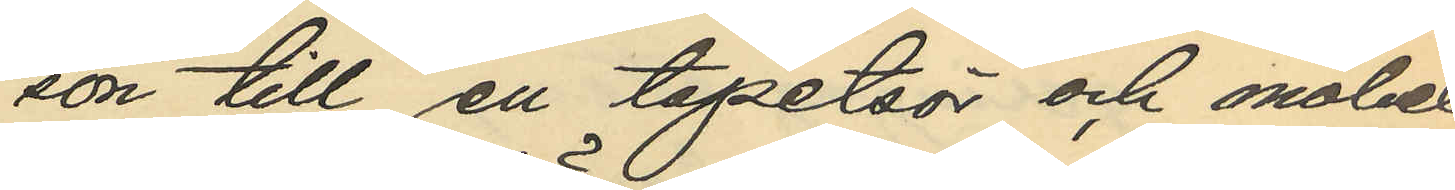son till en tapetsör och möbel¬
